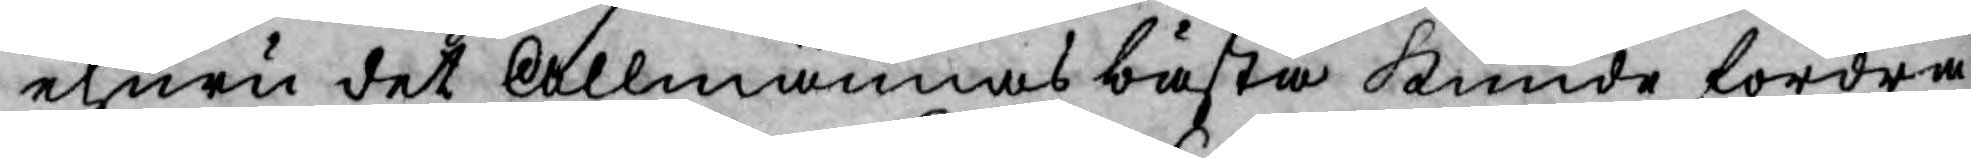ehuru det Allmännas bästa kunde fordra
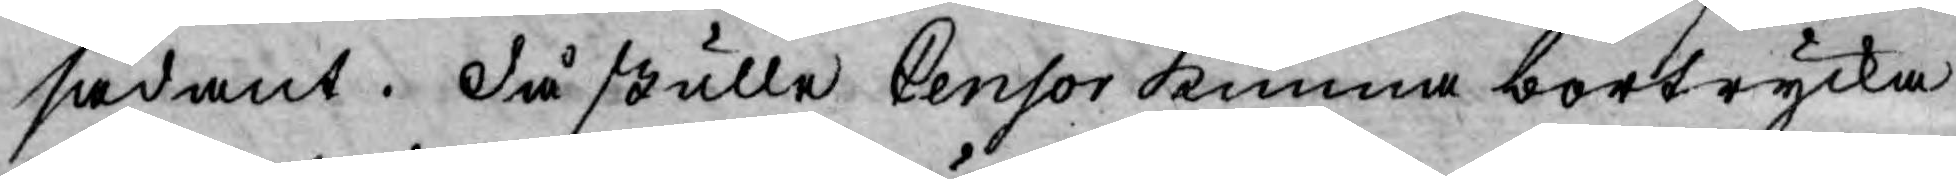sådant. då skulle Censor kunna bortrycka
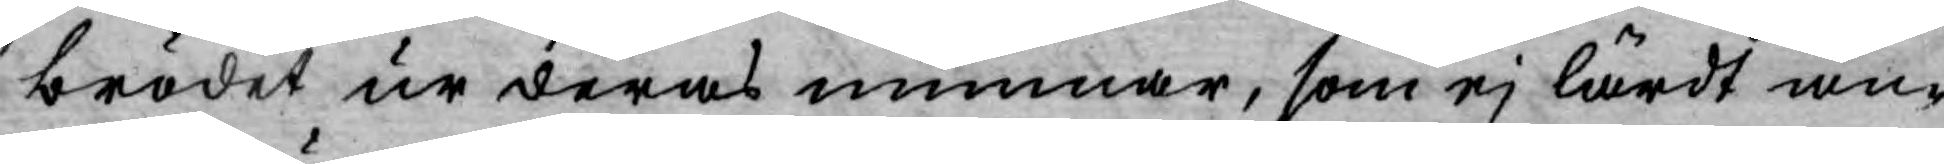brödet ur deras munnar, som ej lärdt an¬
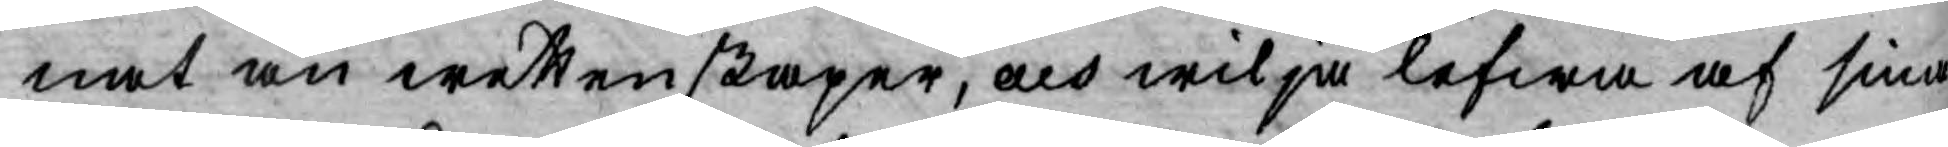nat än wettenskaper, och wilja lefwa af sina
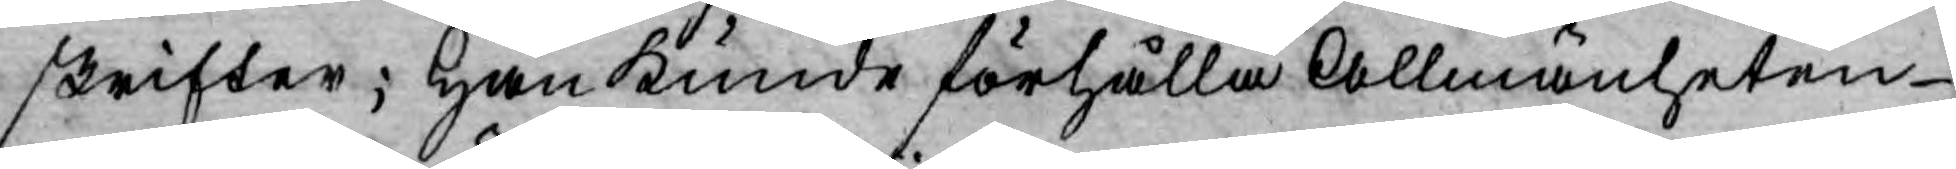skrifter; Han kunde förhålla Allmänheten
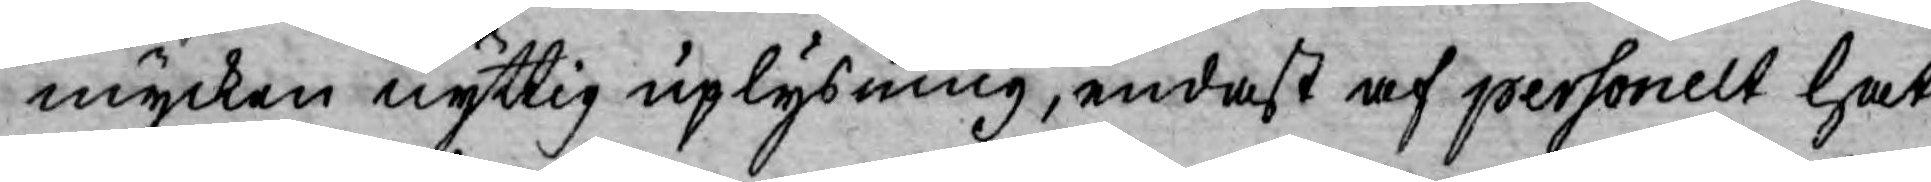mycken nyttig uplysning, endast af personelt hat
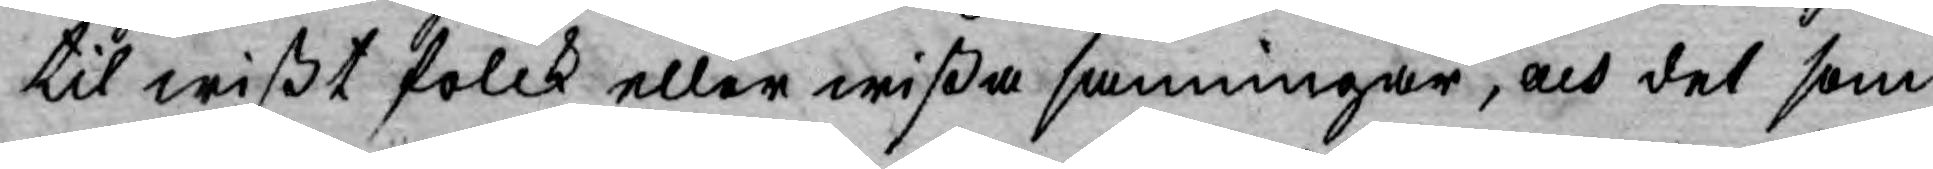til wißt folck eller wißa sanningar, och det som
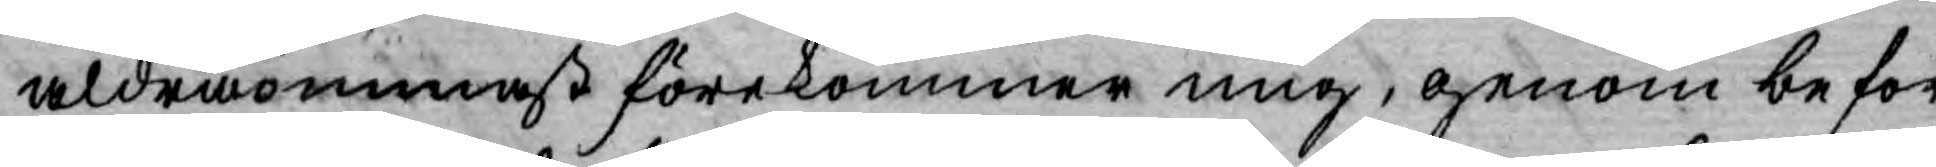aldraömmast förekommer mig, genom befor¬
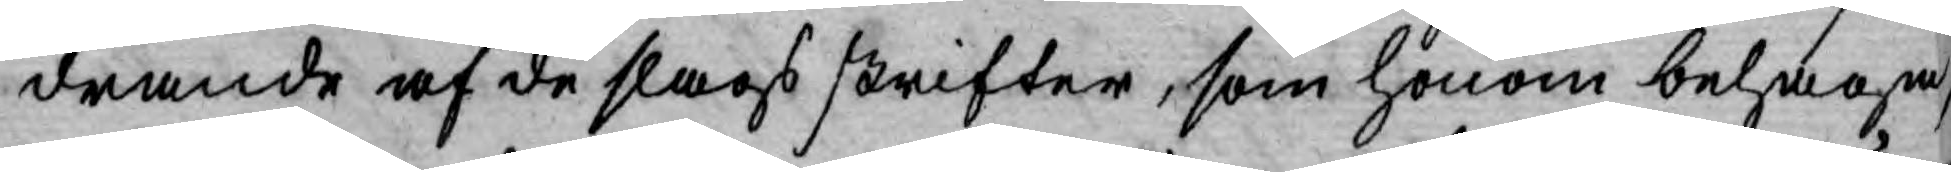drande af de slags skrifter, som honom behaga,
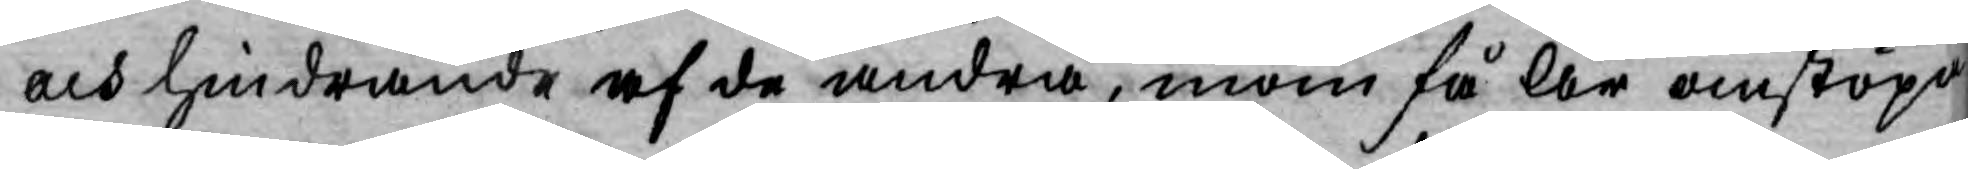och hindrande af de andra, inom få År omstöpa
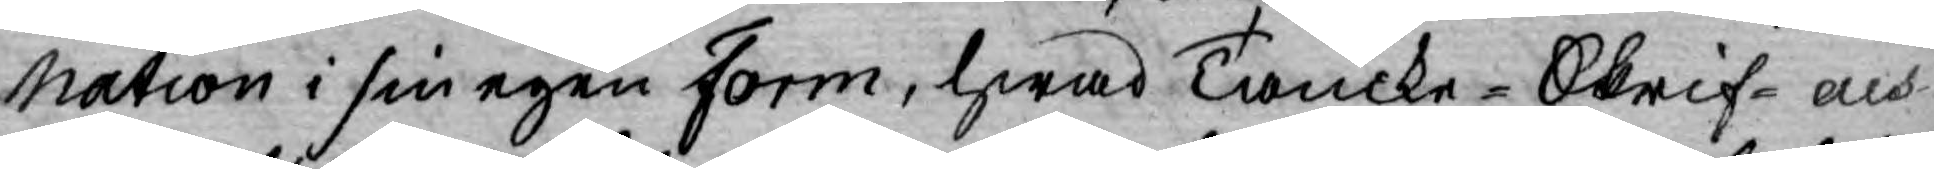Nation i sin egen Form, hwad Tancke-Skrif-och
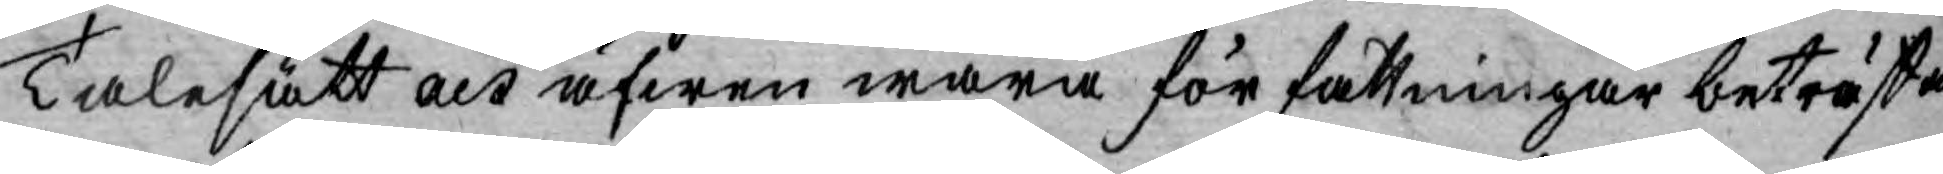Talesätt och äfwen wåra för fattningar beträffa
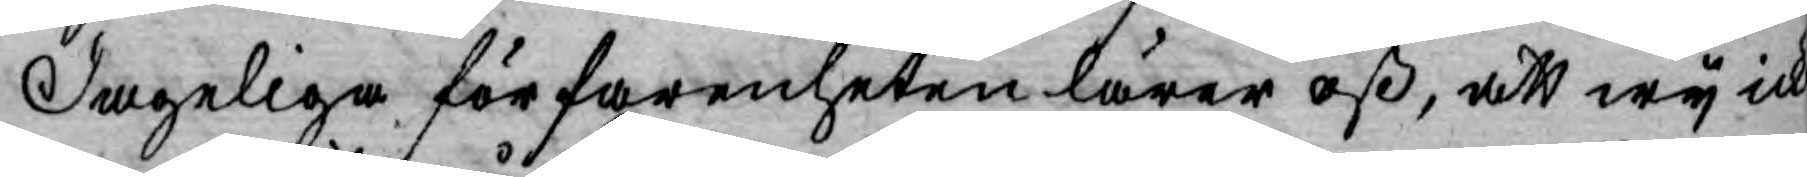dageliga förfarenheten lärer oß, att wy ick
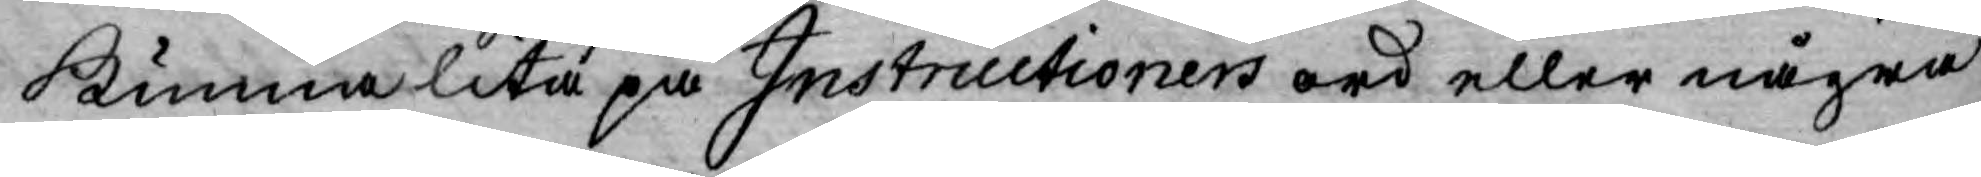kunna lita på Instructioners ord eller några
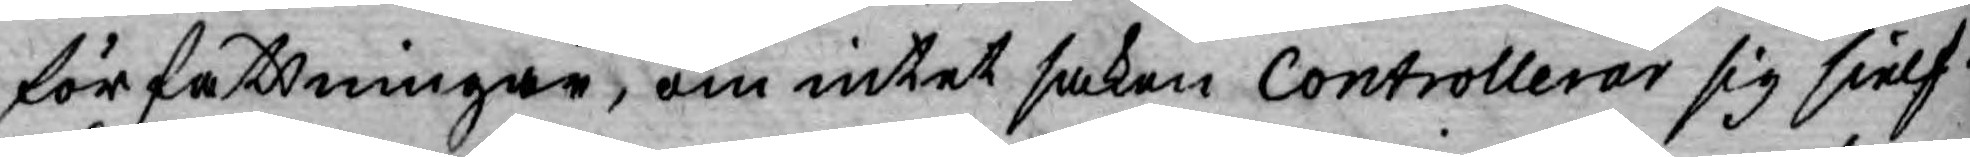författningar, om intet saken Controllerar sig sielf.
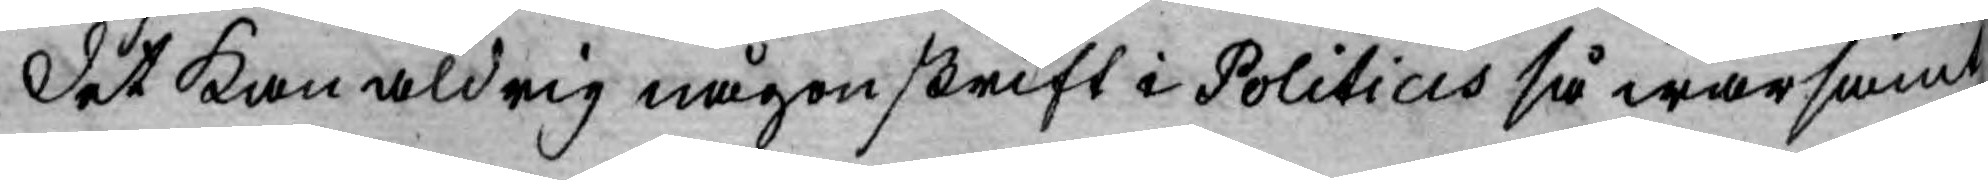Det kan aldrig någon skrift i Politicis så warsamt
